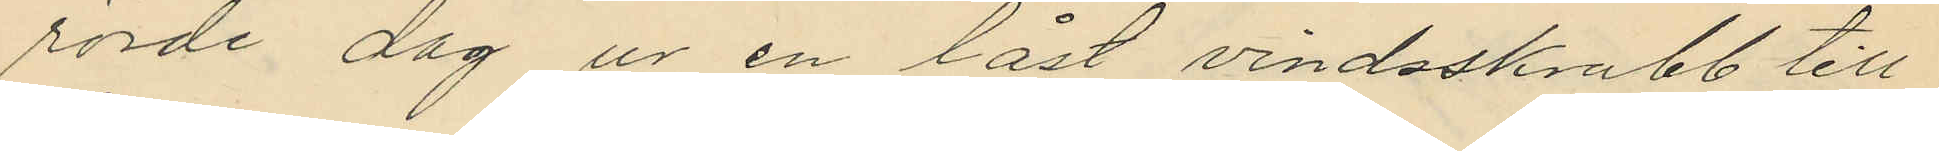rörde dag ur en låst vindsskrubb till
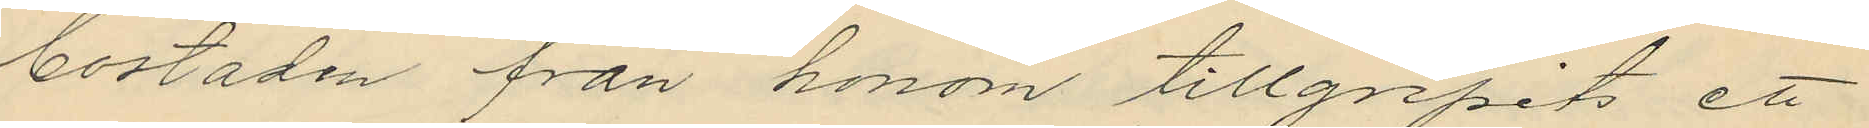bostaden från honom tillgripits ett
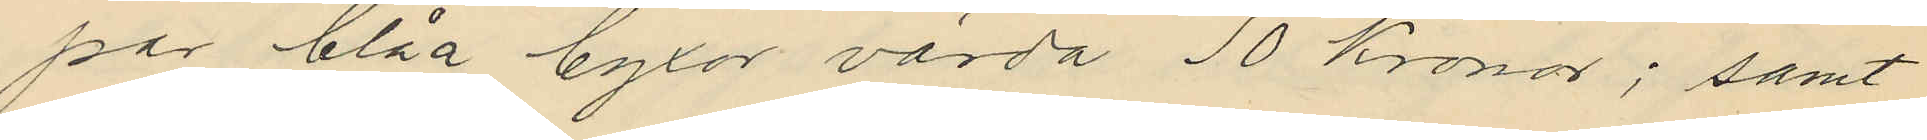par blåa byxor värda 10 Kronor; samt
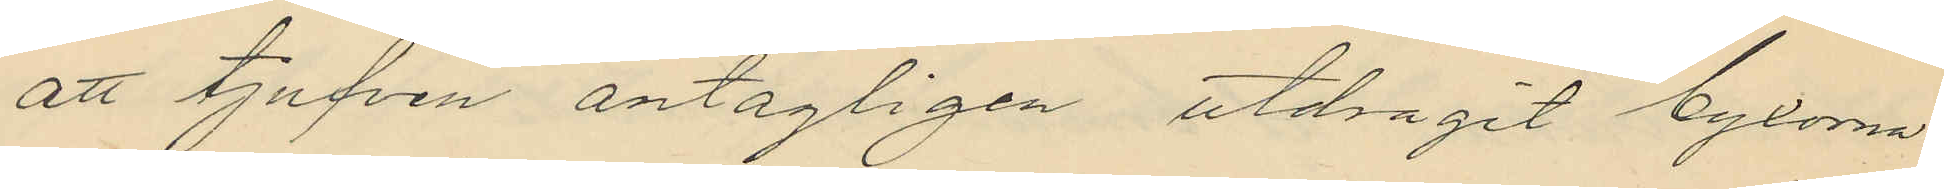att tjufven antagligen utdragit byxorna
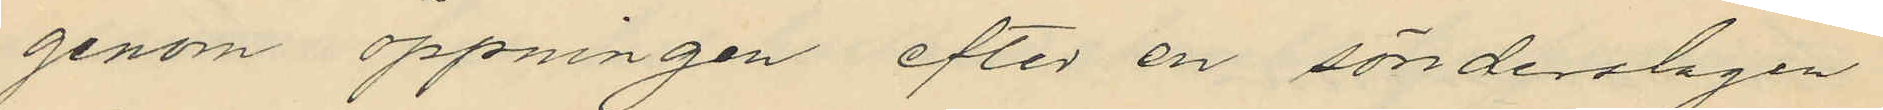genom öppningen efter en sönderslagen
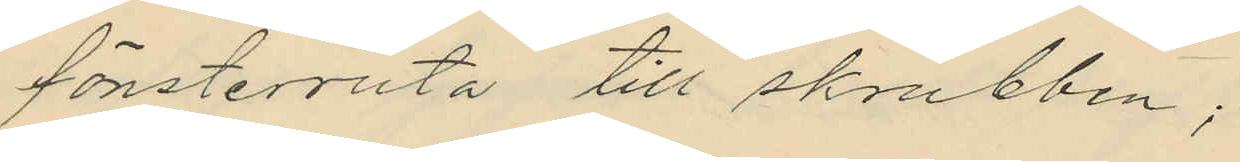fönsterruta till skrubben;
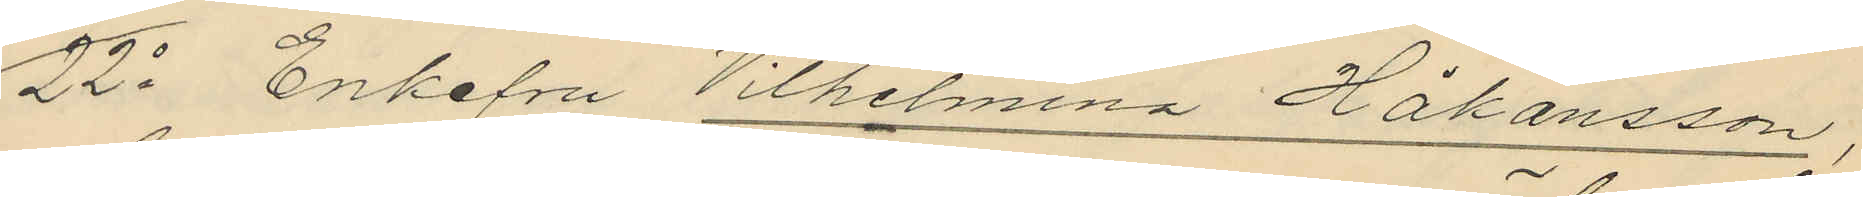22o Enkefru Vilhelmina Håkansson,
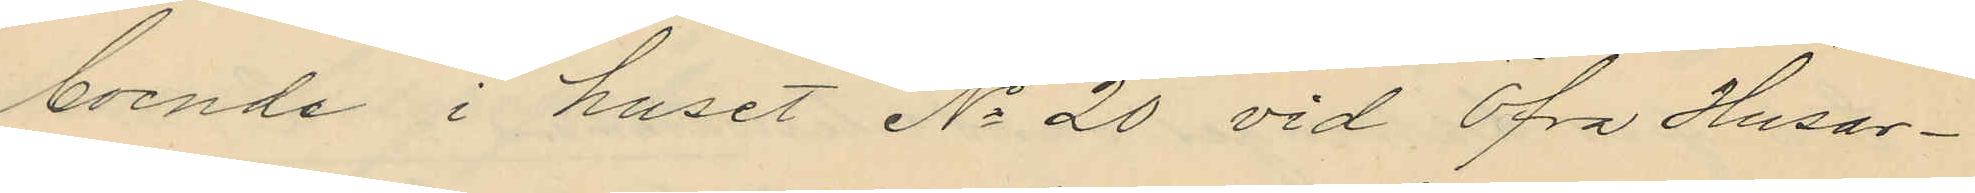boende i huset No 20 vid Öfra Husar¬
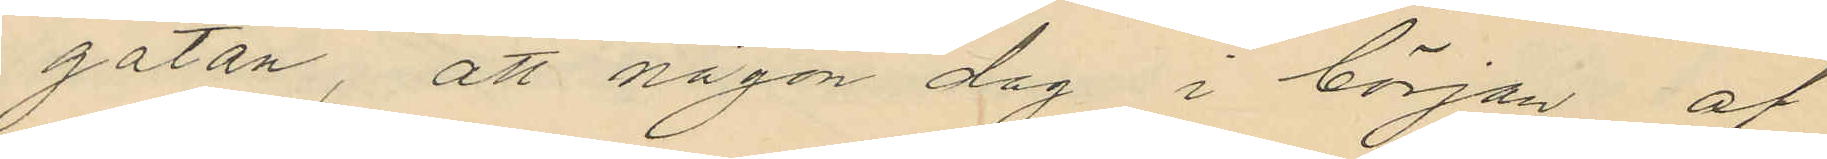gatan, att någon dag i början af
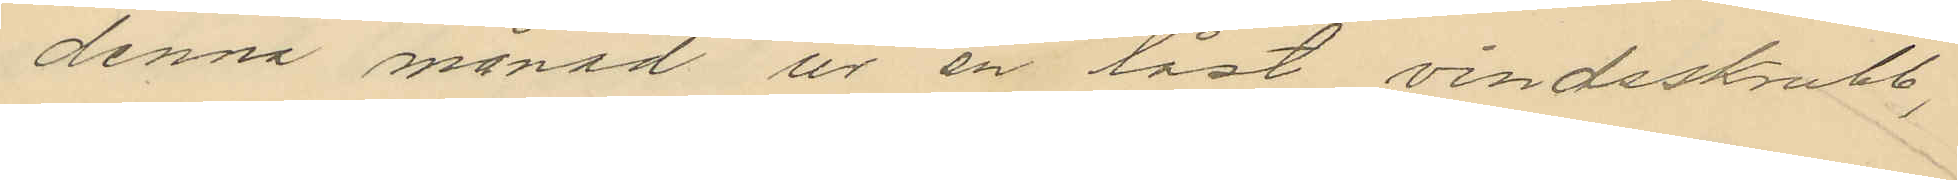denna månad ur en låst vindsskrubb,
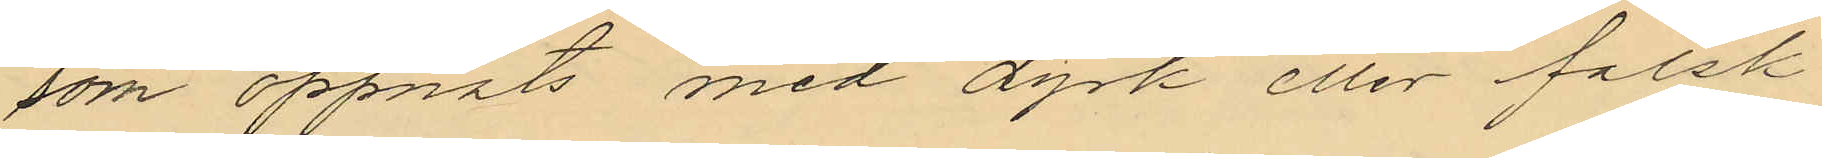som öppnats med dyrk eller falsk
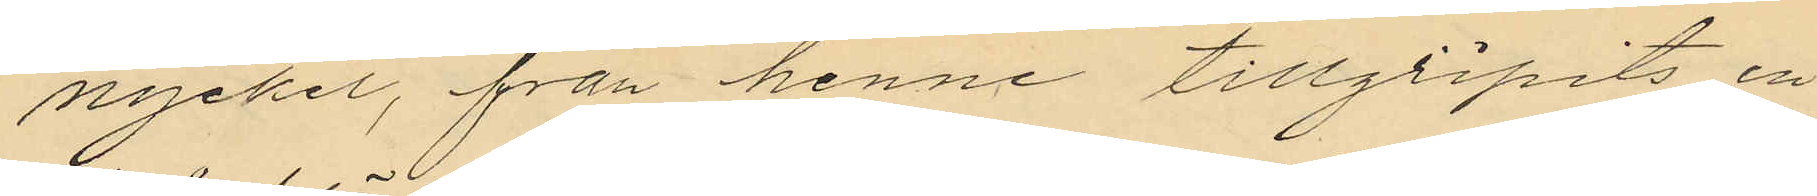nyckel, från henne tillgripits en
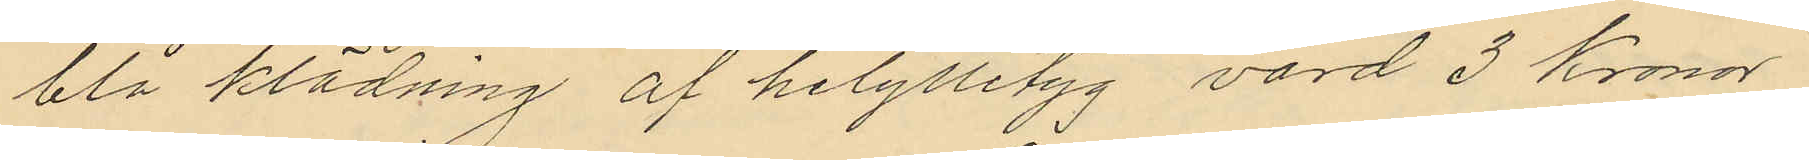blå klädning af helylletyg värd 3 Kronor
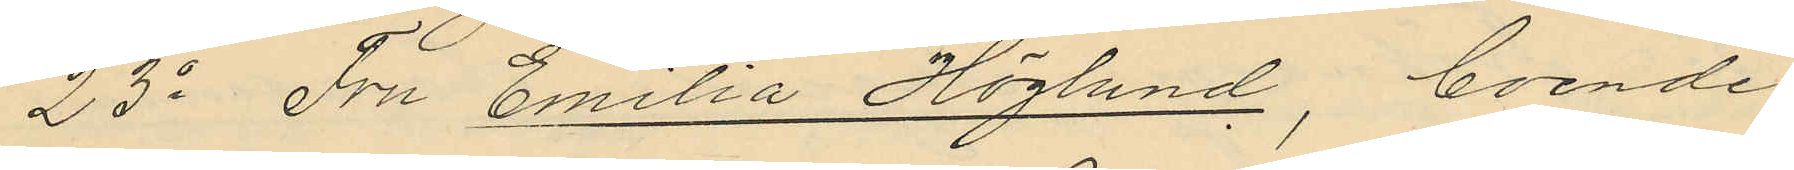23o Fru Emilia Höglund, boende
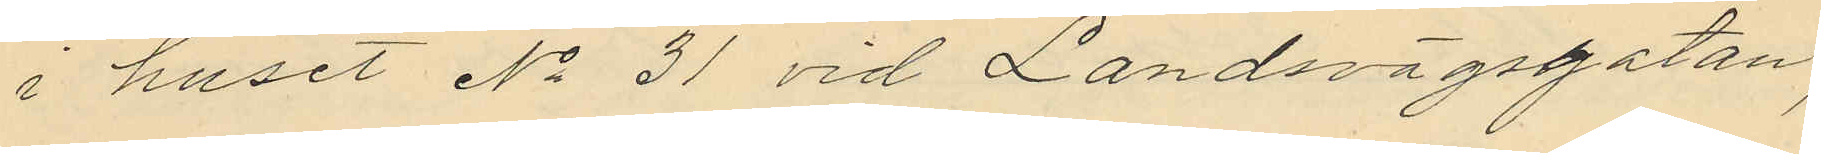i huset No 31 vid Landsvägsgatan,
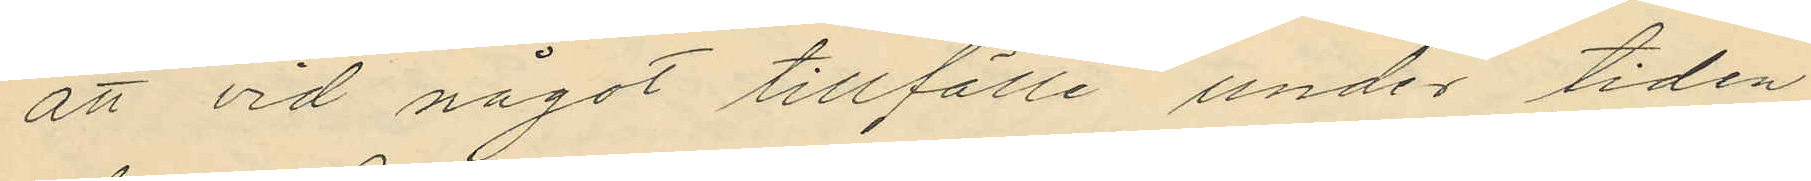att vid något tillfälle under tiden
